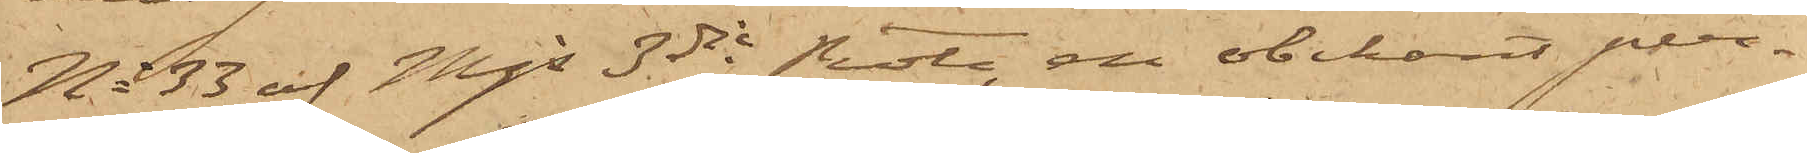No 33 af Mjs 3dje Rote, en obekant per¬
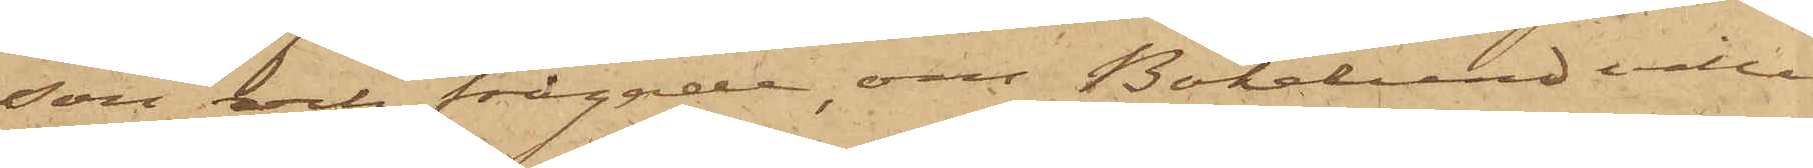son och frågade, om Bökelund ville
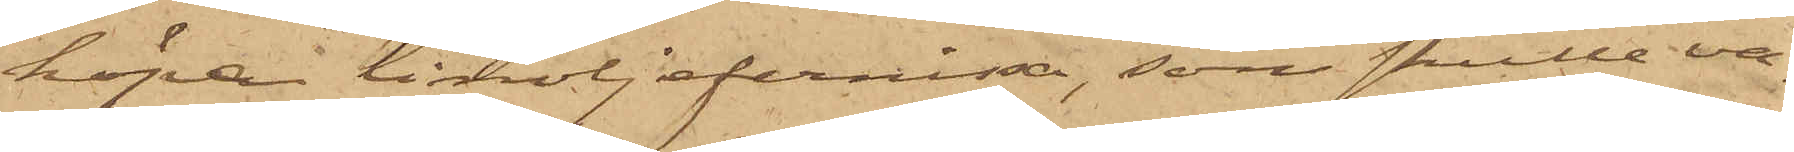köpa linoljefernissa, som skulle va¬
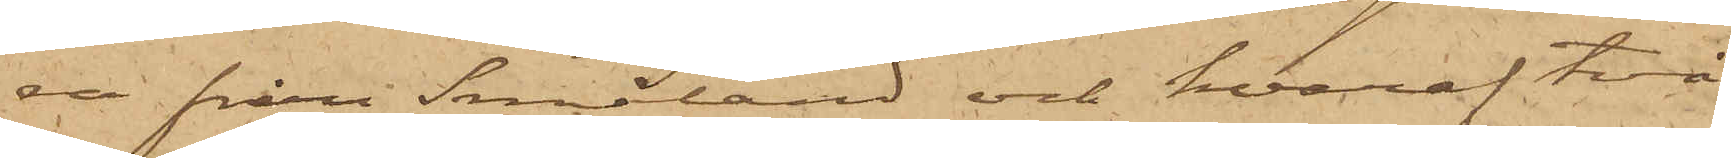ra från Småland och hvaraf två
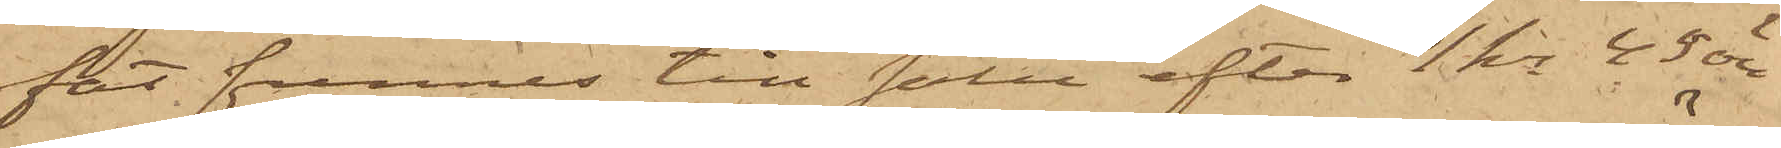fat funnes till salu efter 1 kr 45 öre
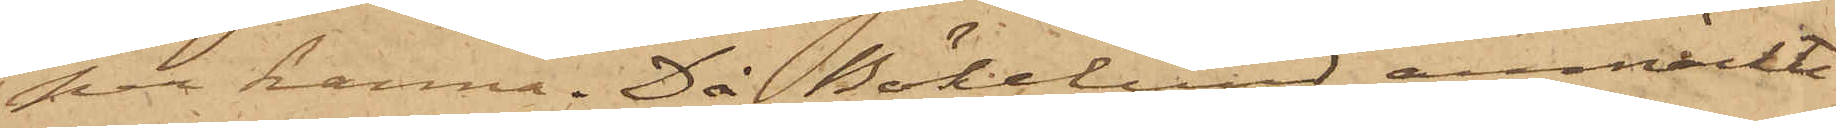per kanna. Då Bökelund anmärkt
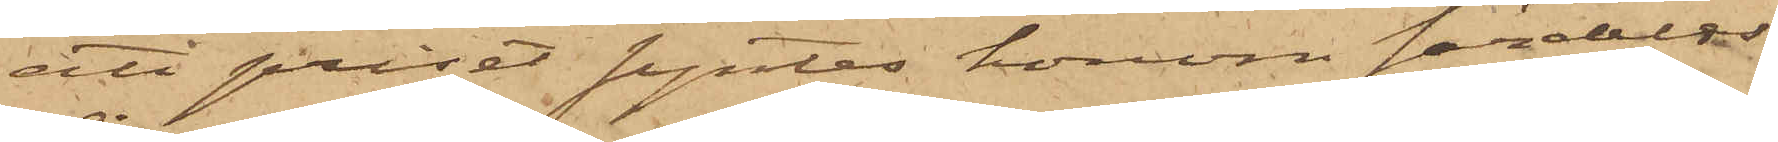att priset syntes honom fördeles
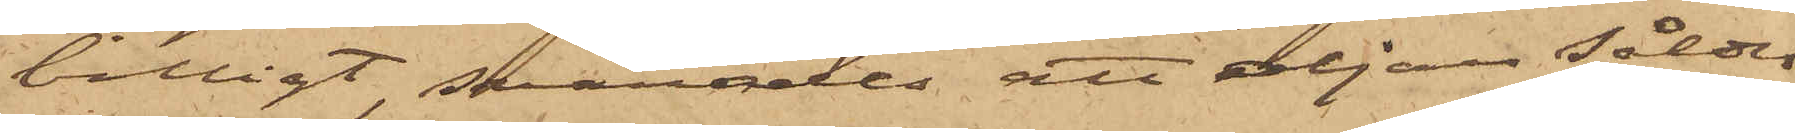billigt, svarades att oljan såldes
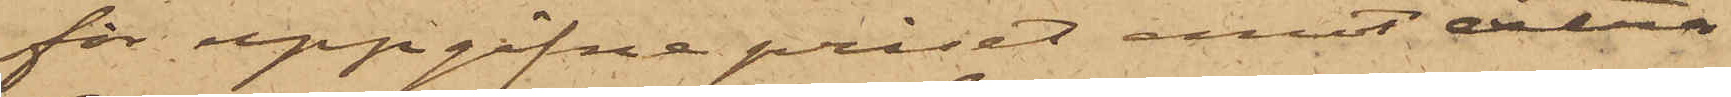för uppgifne priset, emot extra
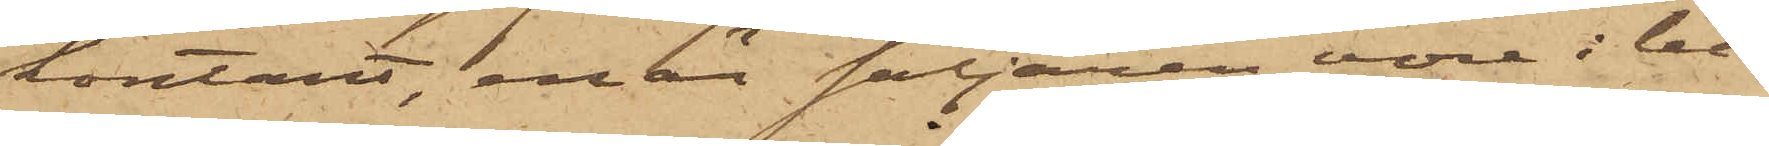kontant, enär säljaren vore i be¬
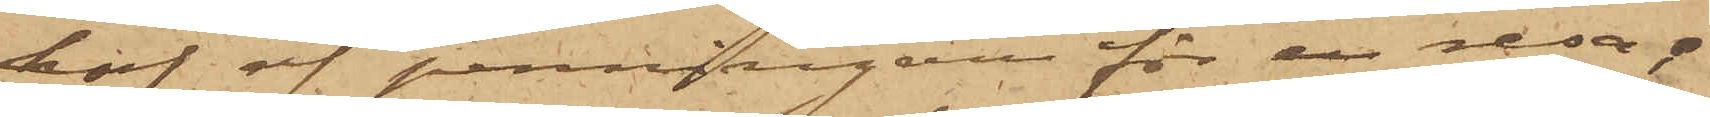hof af penningar för en resa;
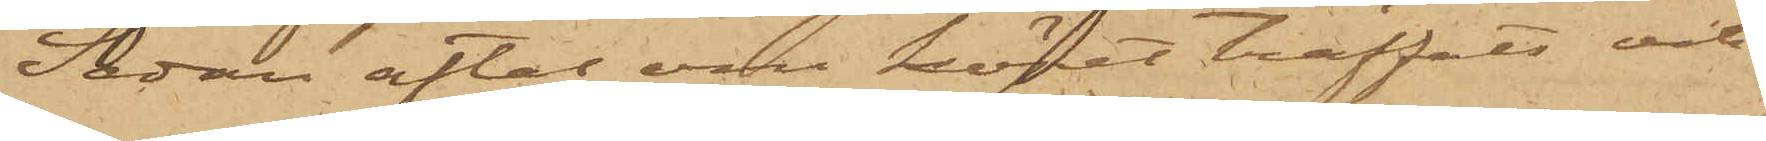Sedan aftal om köpet träffats och
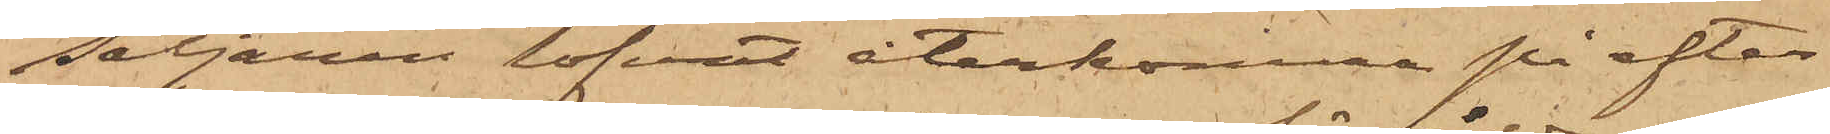Säljaren lofvat återkomma på efter¬
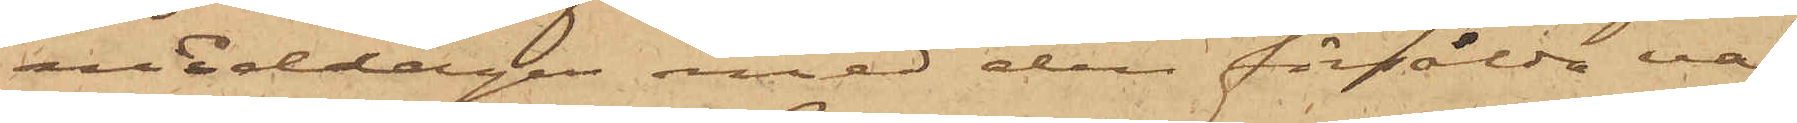middagen med den försålda va¬
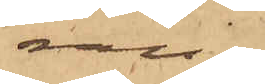ran,
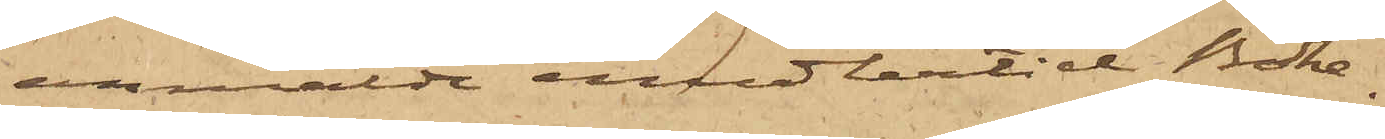anmälde emedlertid Böke¬
